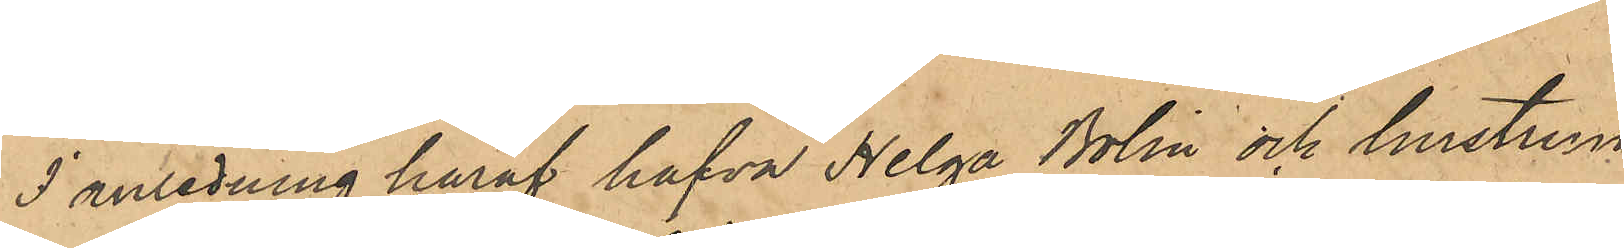I anledning häraf hafva Helga Bolin och hustrun
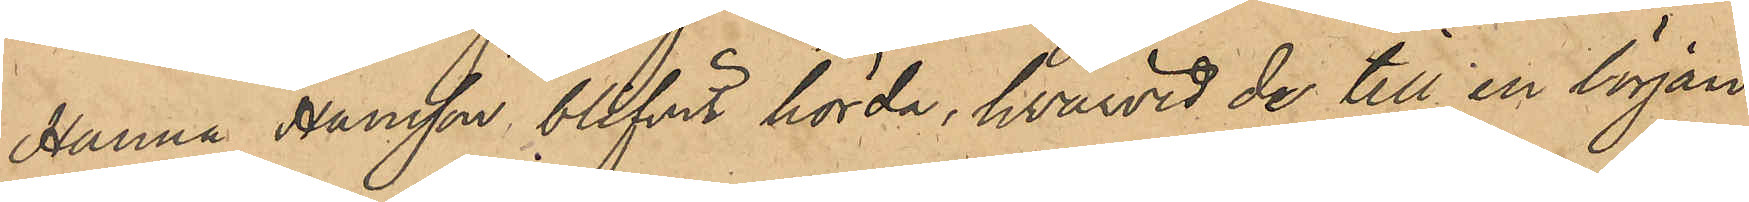Hanna Hansson blifvit hörda, hwarvid de till en början
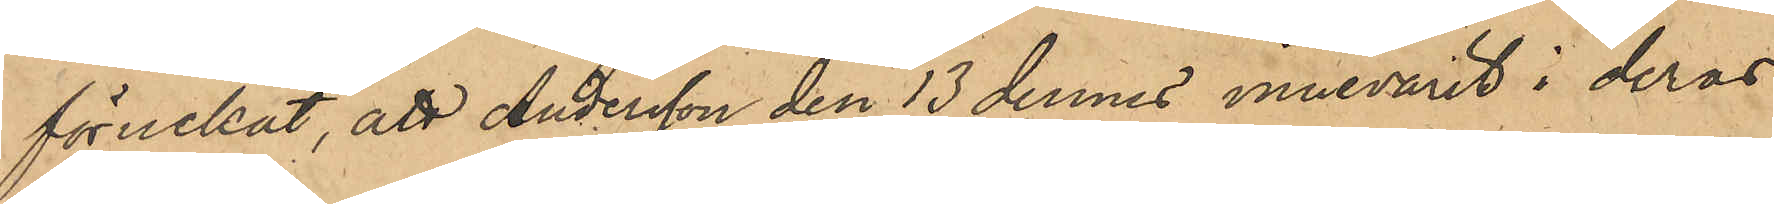förnekat, att Andersson den 13 dennes innevarit i deras
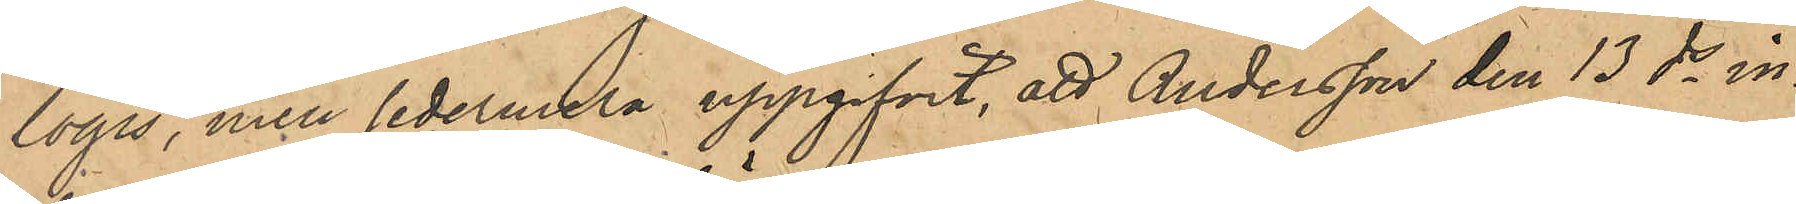logis, men sedermera uppgifvit, att Andersson den 13 ds in¬
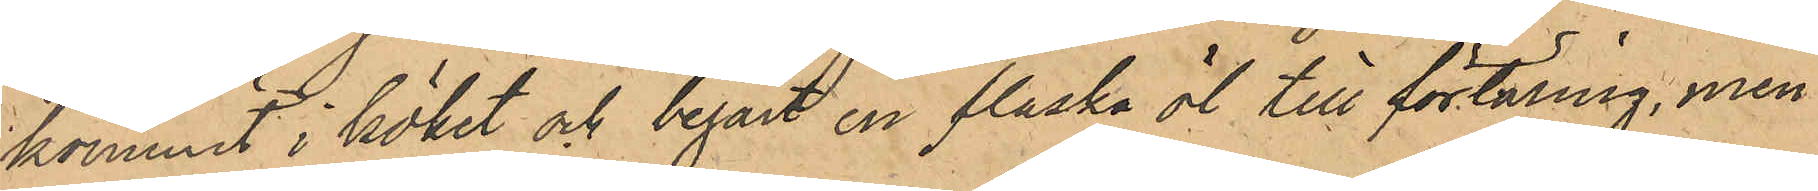kommit i köket och begärt en flaska öl till förtäring, men
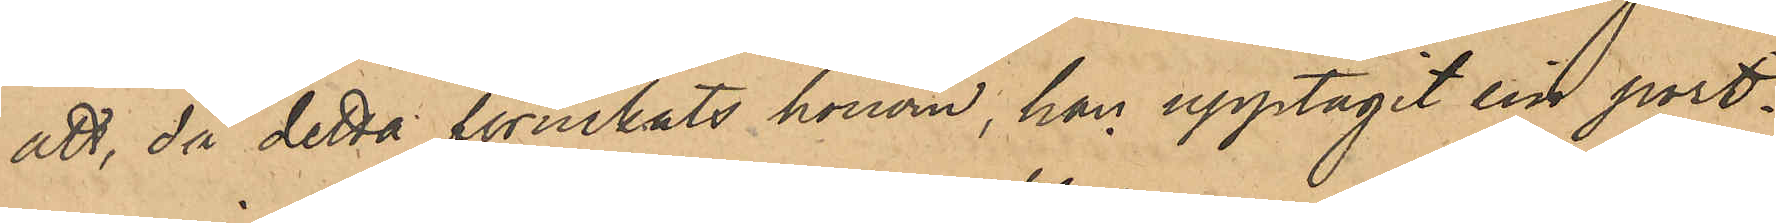att, då detta förnekats honom, han upptagit sin port¬
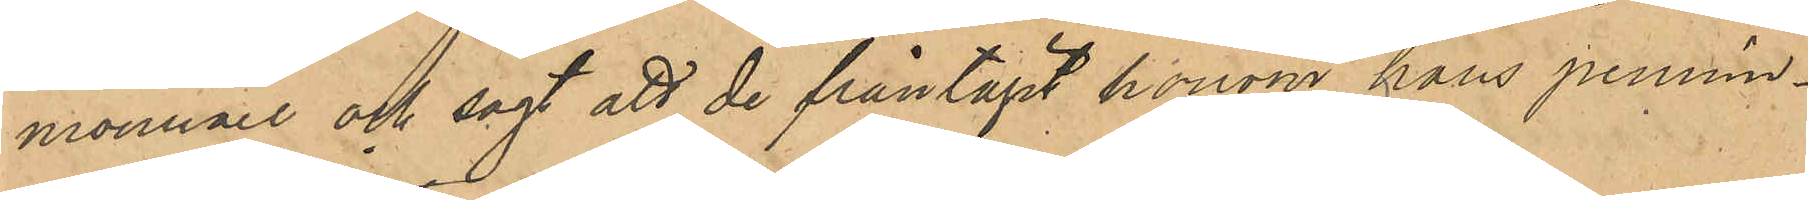monnaie och sagt att de fråntagit honom hans pennin¬
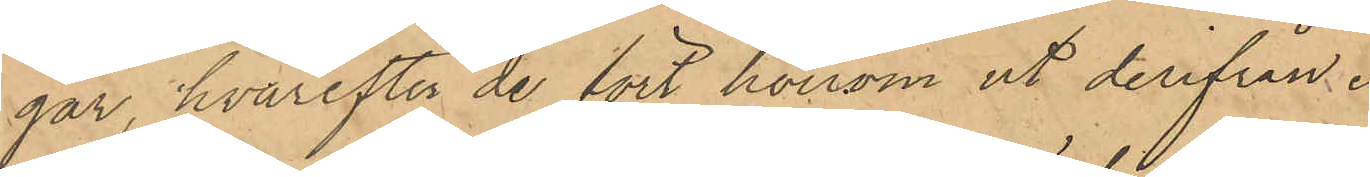gar, hvarefter de fört honom ut derifrån.
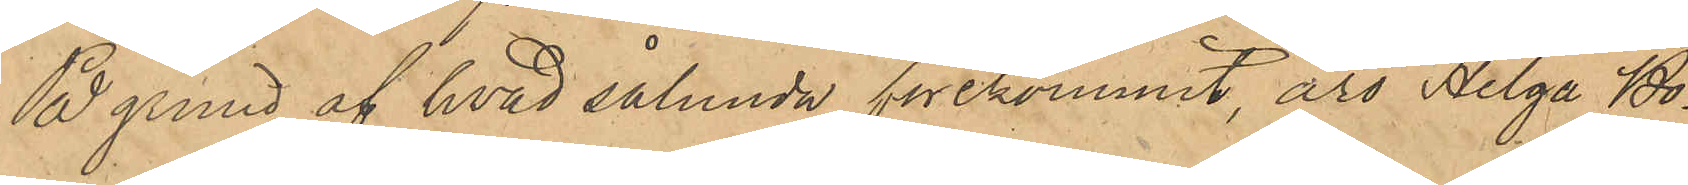På grund af hvad sålunda förekommit, äro Helga Bo¬
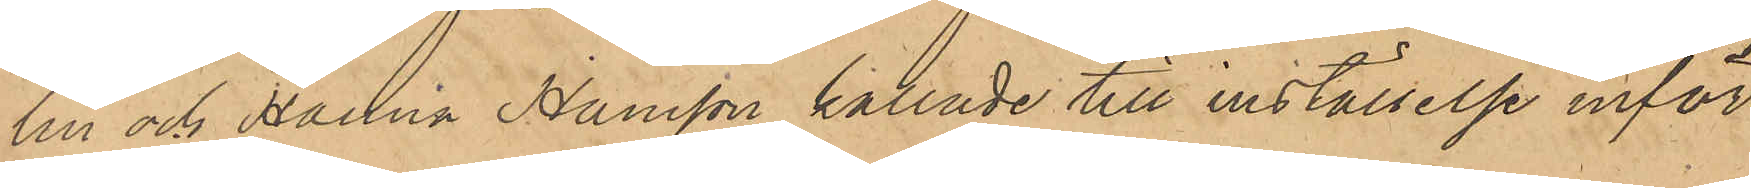lin och Hanna Hansson kallade till inställelse inför
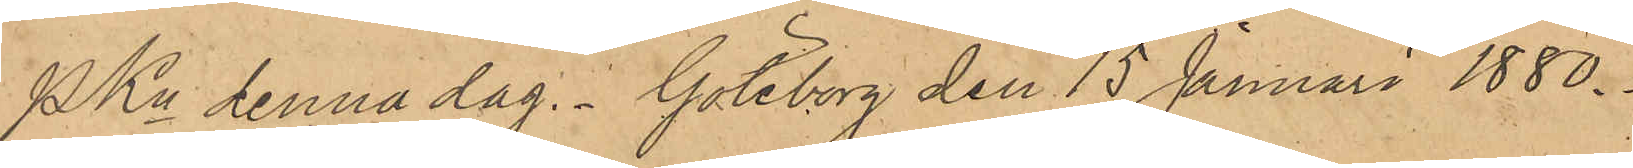PKn denna dag. Göteborg den 15 Januari 1880.
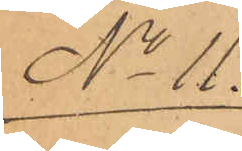No 11.
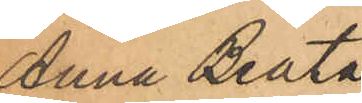Anna Beata
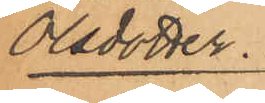Olsdotter.
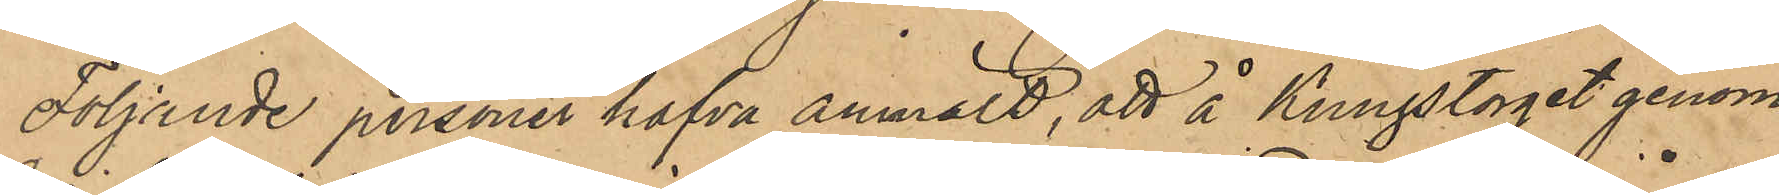Följande personer hafva anmält, att å Kungstorget genom
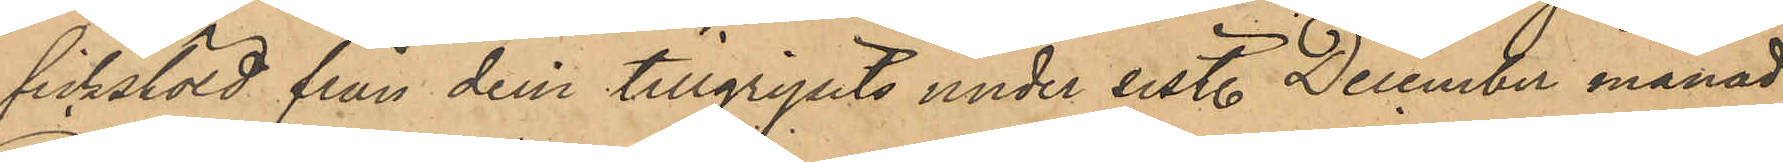fickstöld från dem tillgripits under sist. December månad
